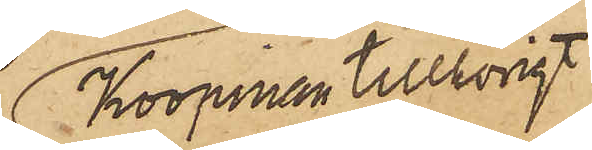Koopman tillhörigt
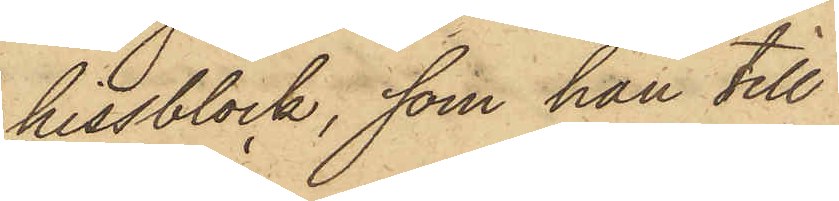hissblock, som han till
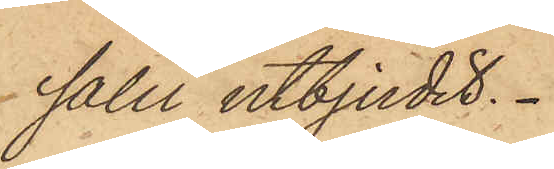salu utbjudit.
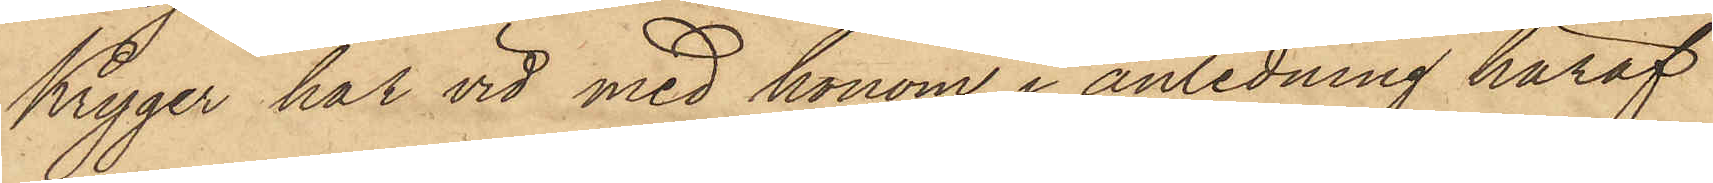Kryger har vid med honom i anledning häraf
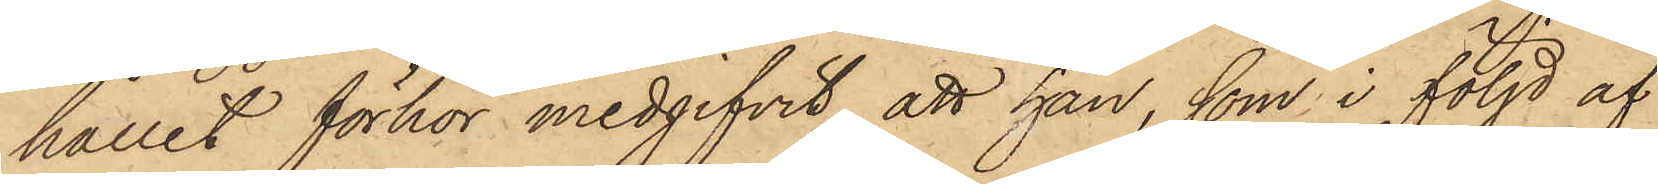hållit förhör medgifvit att han, som i följd af
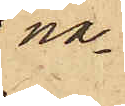na¬
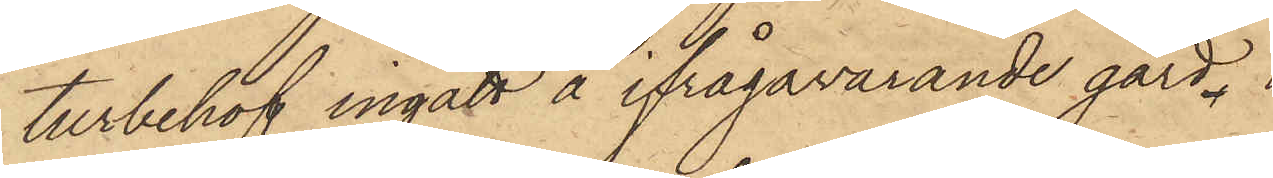turbehof ingått å ifrågavarande gård
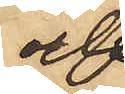och
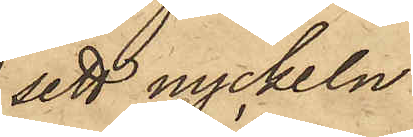sett nyckeln
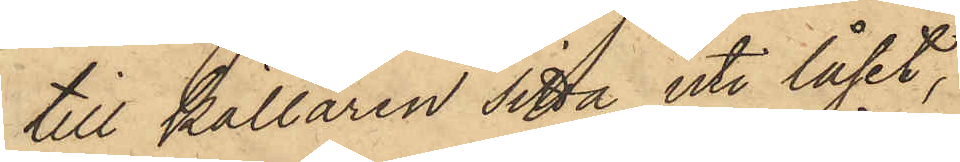till källaren sitta uti låset,
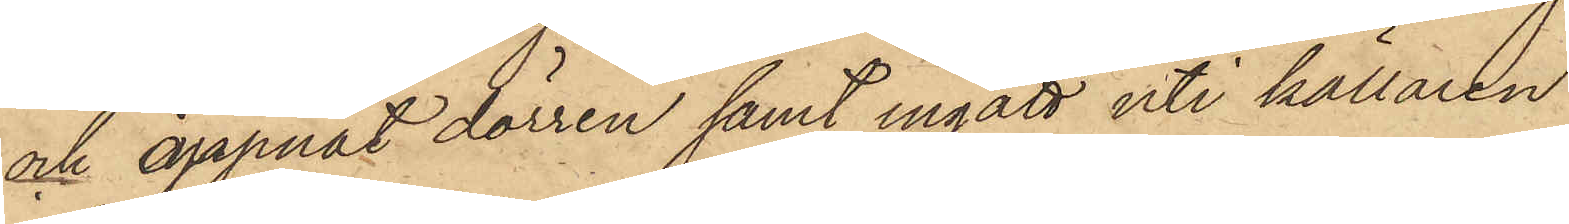och öppnat dörren samt ingått uti källaren
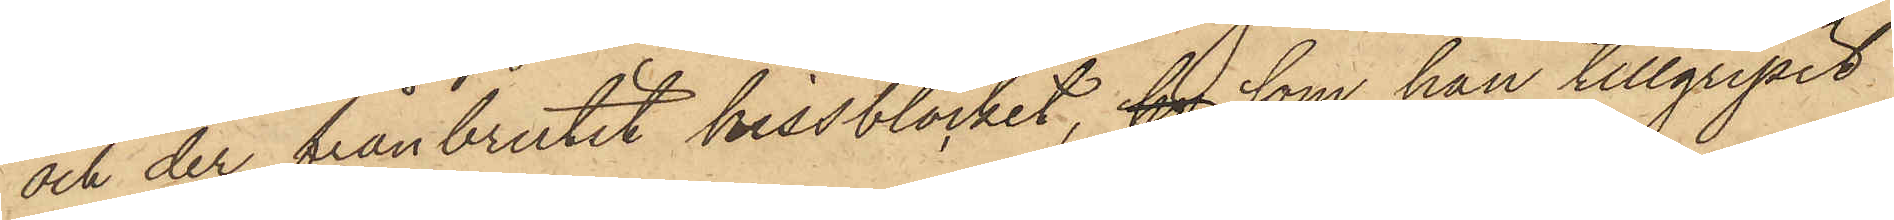och der frånbrutit hissblocket, hv som han tillgripit
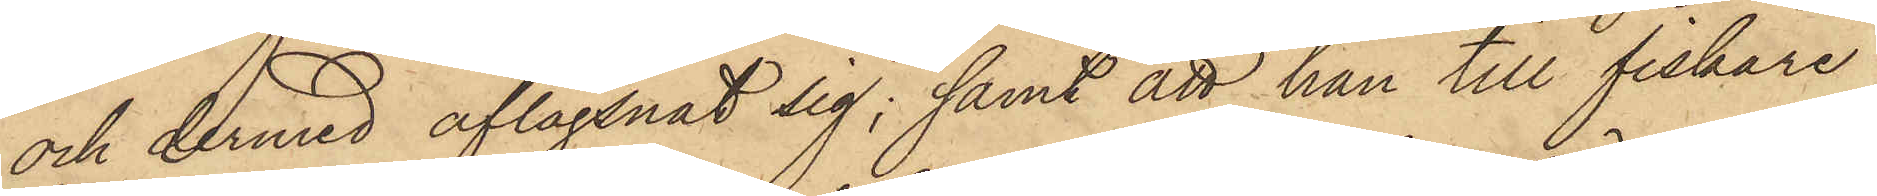och dermed aflägsnat sig; samt att han till fiskare
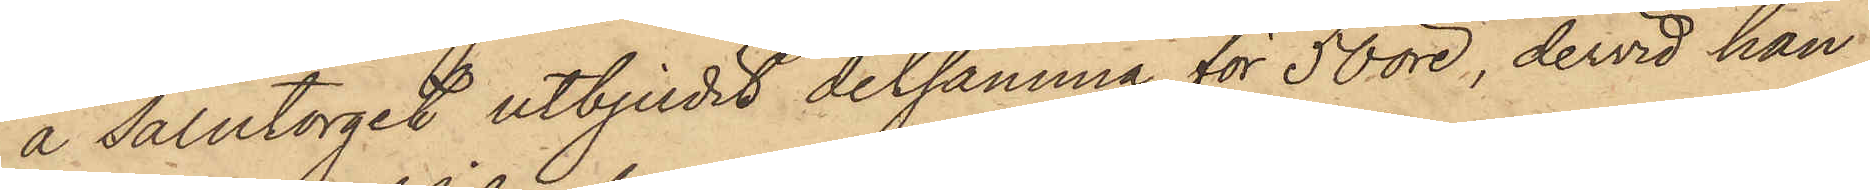å Salutorget utbjudit detsamma för 50 öre, dervid han
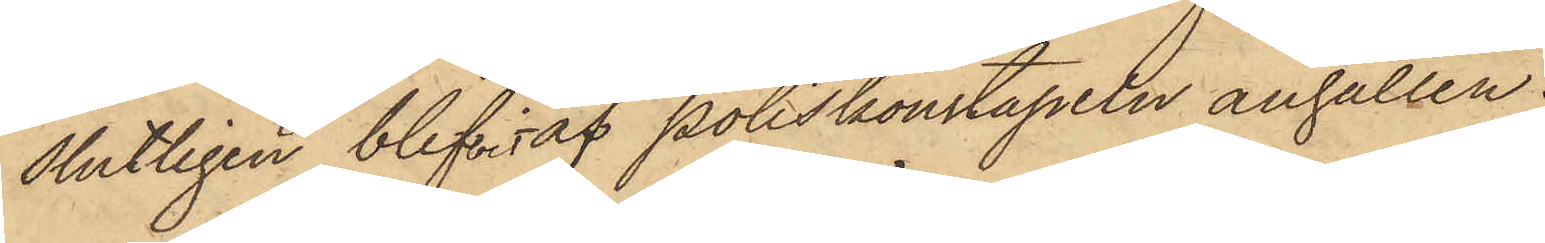slutligen blifvit af Poliskonstapeln anhållen.
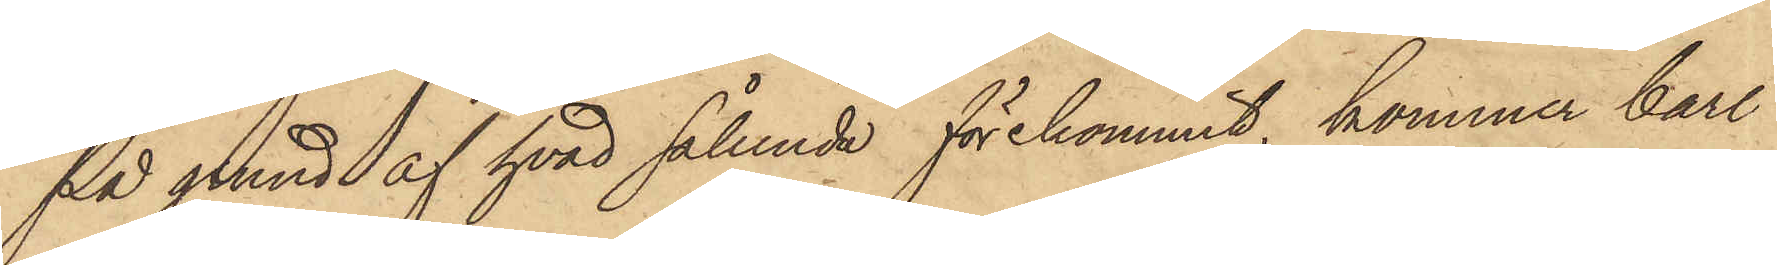På grund af hvad sålunda förekommit, kommer Carl
